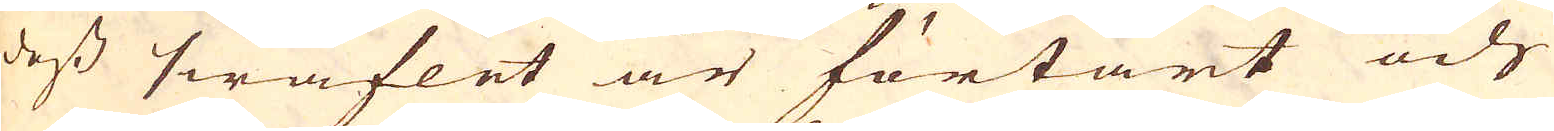dess swaflet är förtärt och
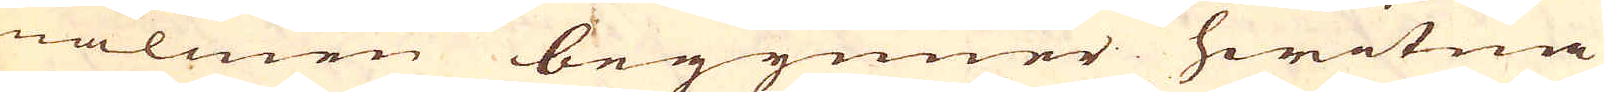malmen begynner hwitna
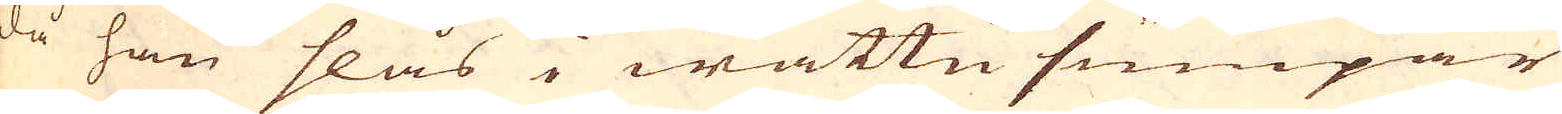då han slås i wattnsumpar
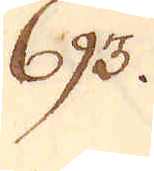693.
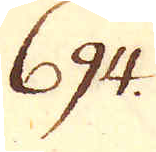694.
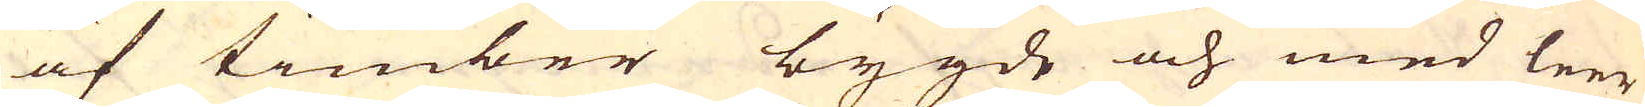af timber bygde och med leer
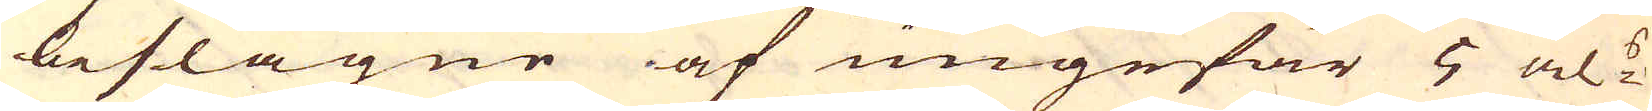beslagne af ungefär 5 al:s
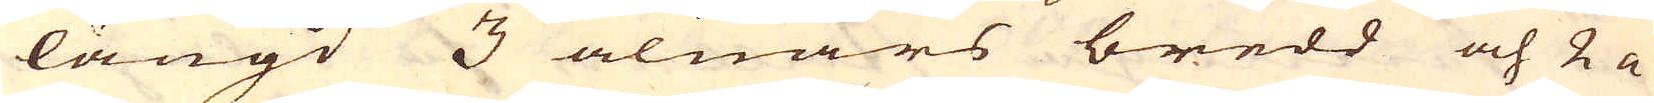längd 3 alnars bredd och 2 a
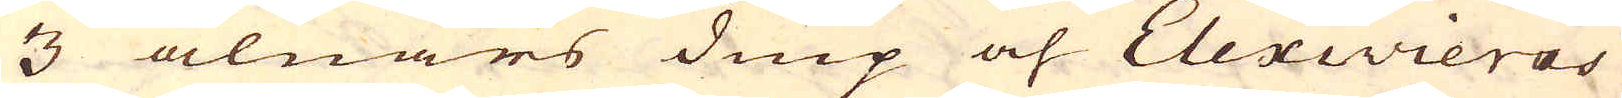3 alnars diup och Elexivieras
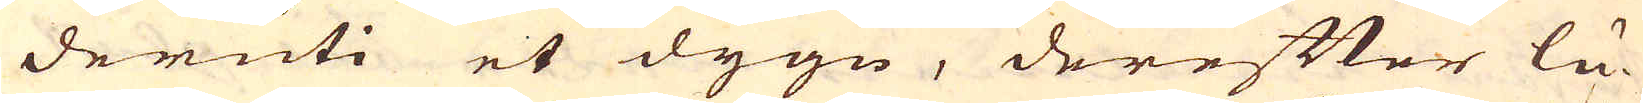deruti et dygn, derefter lu-
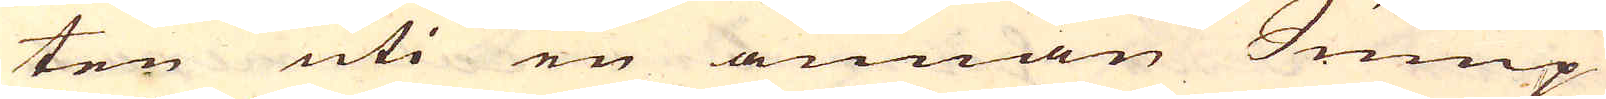ten uti en annan Sump
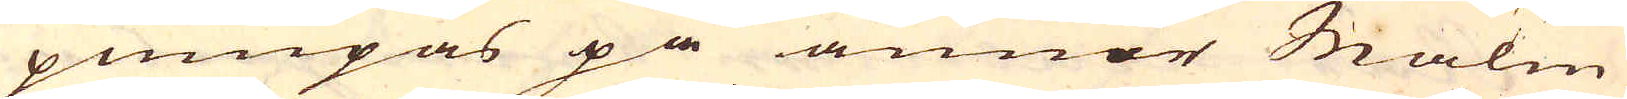pumpas på annor Malm
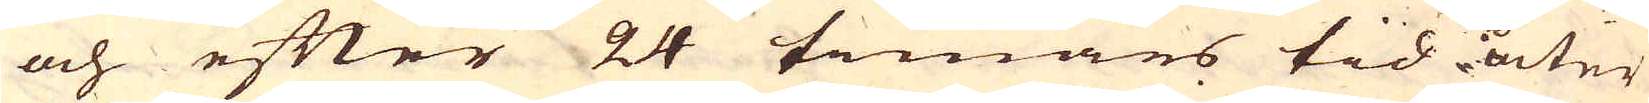och efter 24 timars tid åter
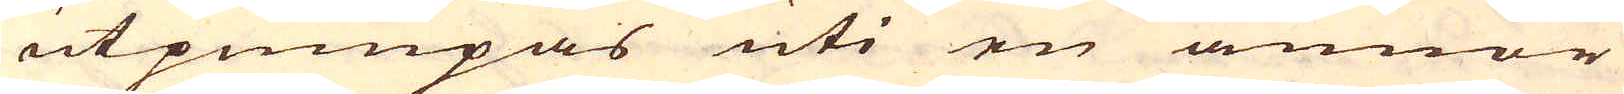utpumpas uti en annor
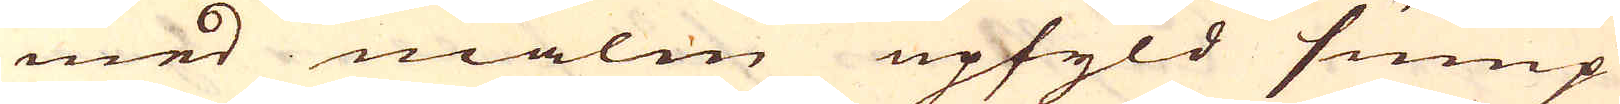med malm upfyld sump
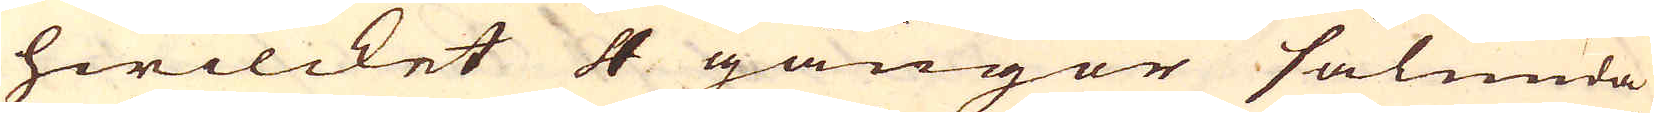hwilcket 4 gånger sålunda
